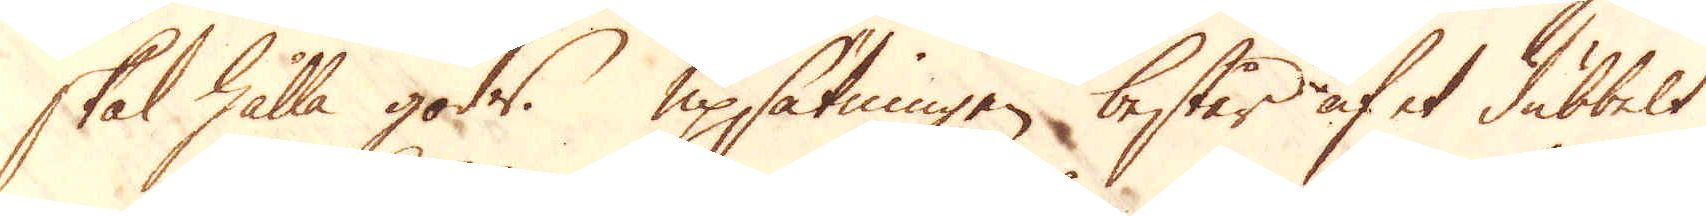skal hålla gods. Upsätningen består af et dubbelt
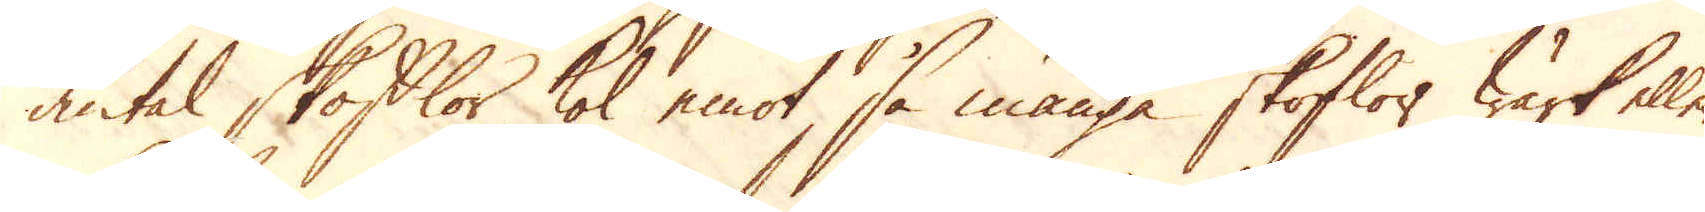antal skofflor kol emot, så många skoflor wärk eller
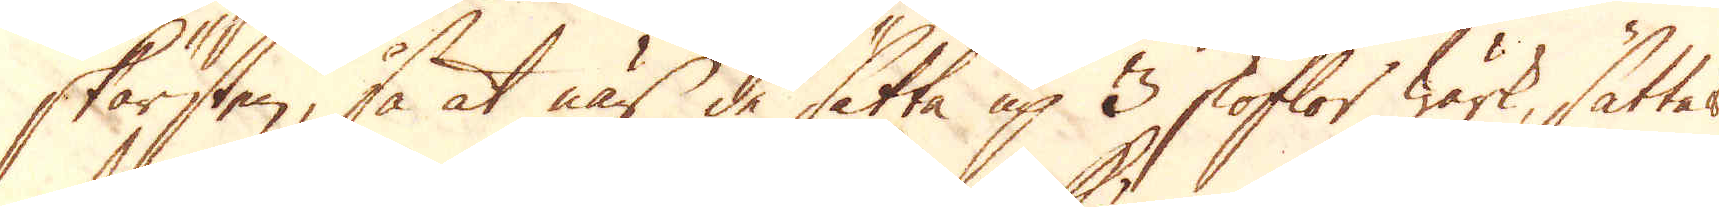skärsten, så at när de sätta up 3 skoflor wärk, sättes
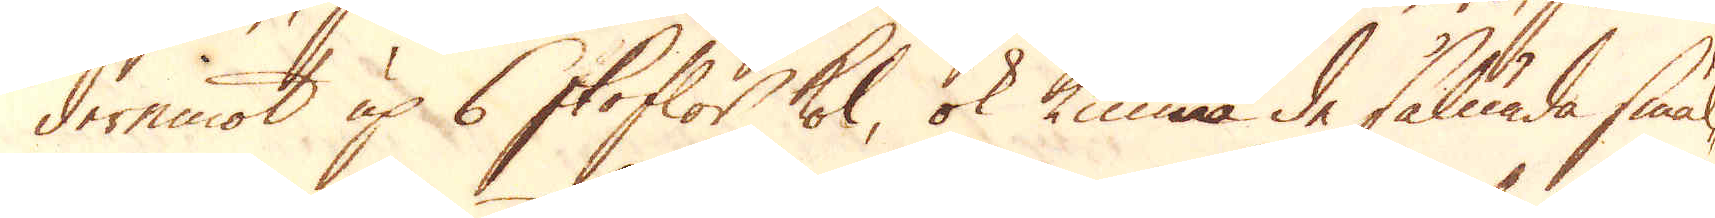deremot up 6 skoflor kol, ok kunna de sålunda smäl-
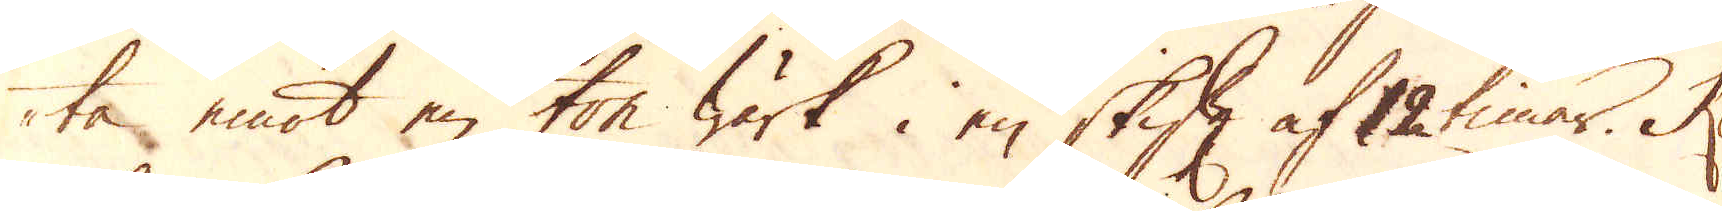ta emot en ton wärk i en skift af 12 timar. Ko-
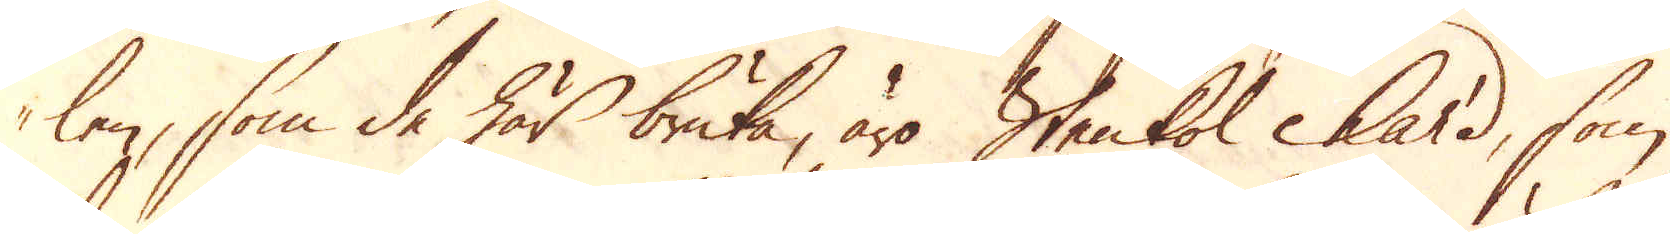len, som de här bruka, äro Stenkol hard, som
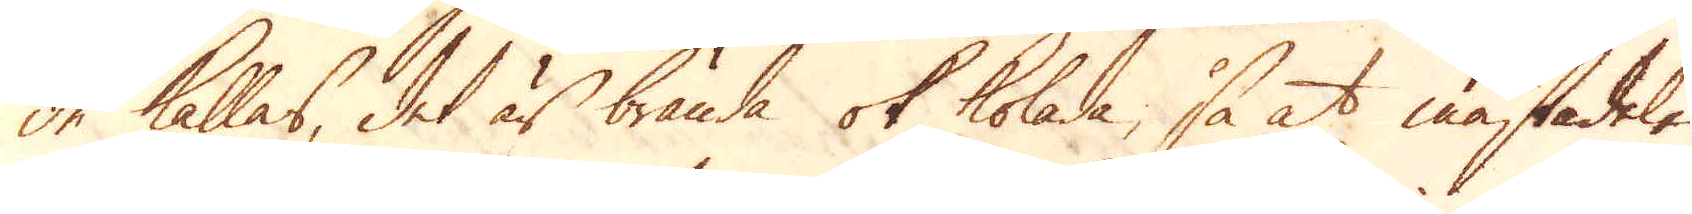de kallas, det är brända ok kolade, så at mästadelen
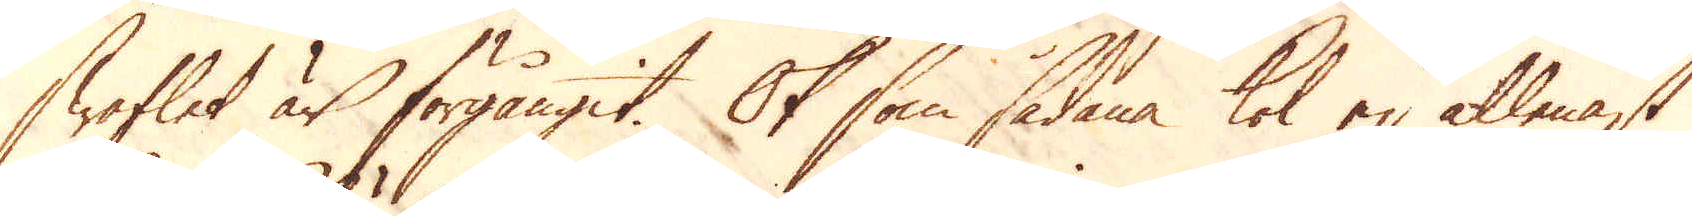Swaflet är förgångit. Ok som sådana kol ej allenast
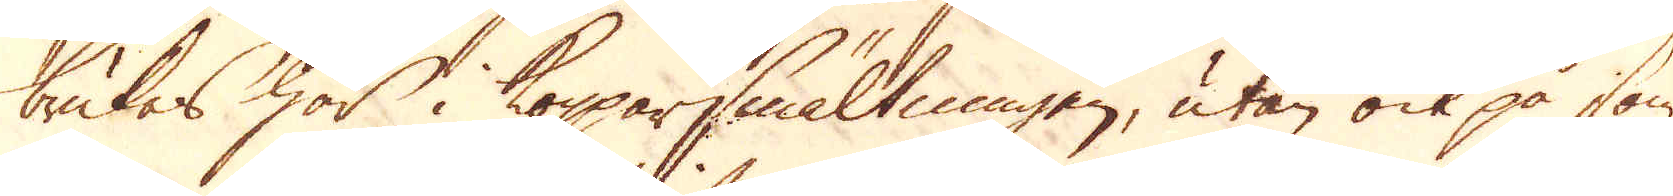brukas här i Kopparsmältningen, utan ock på som-
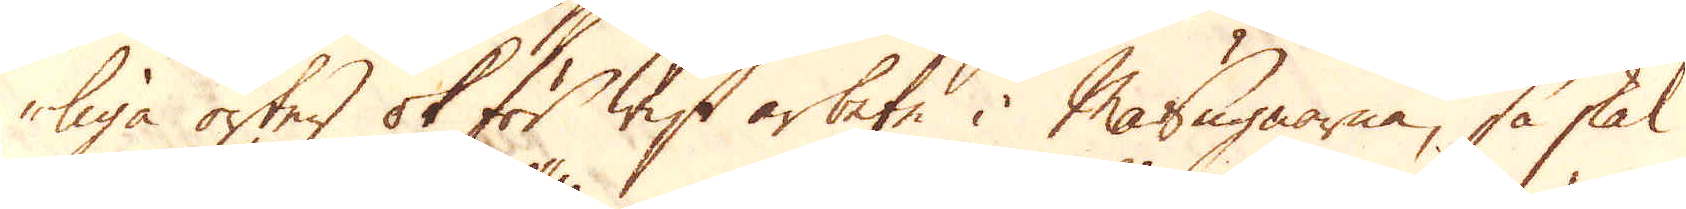liga orter ok för wist arbete i Masugnarna, så skal
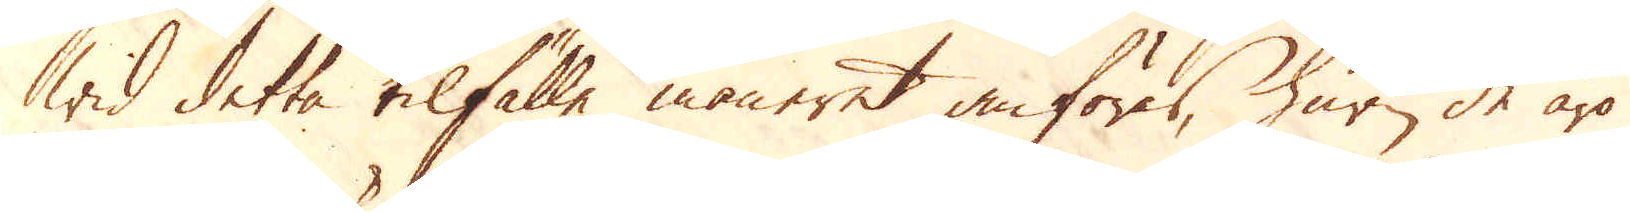wid detta tilfälle maneret anföres, huru de äro
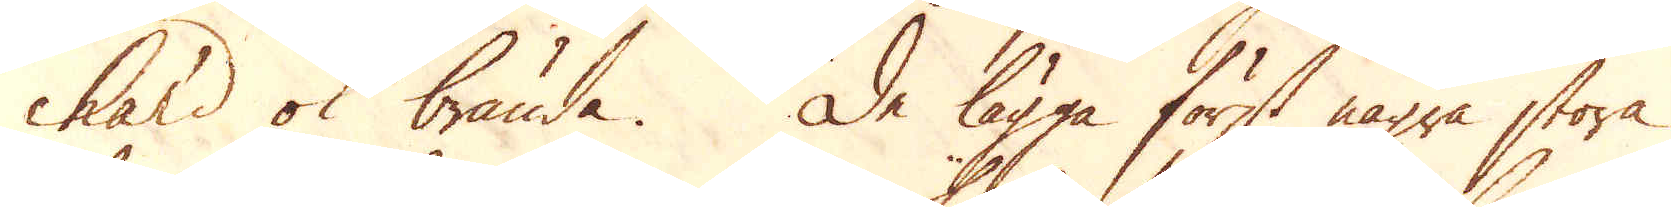hard ok brända. De lägga först några stora
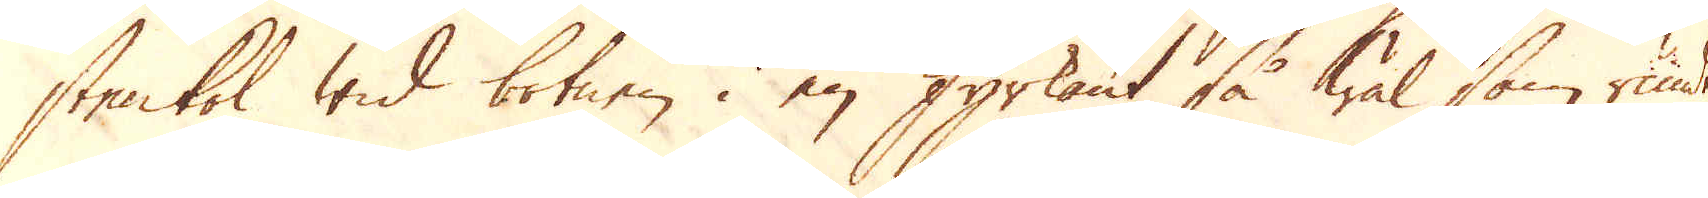stenkol wid botnen i en fyrkant så wäl som rundt
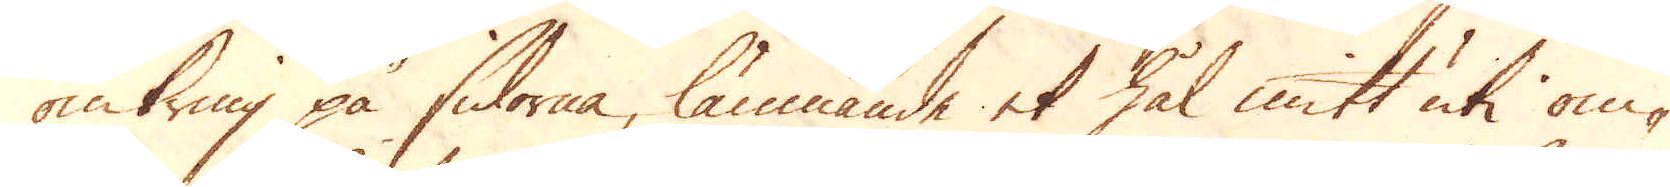omkring på sidorne, lämnande et hål mitt uti om-
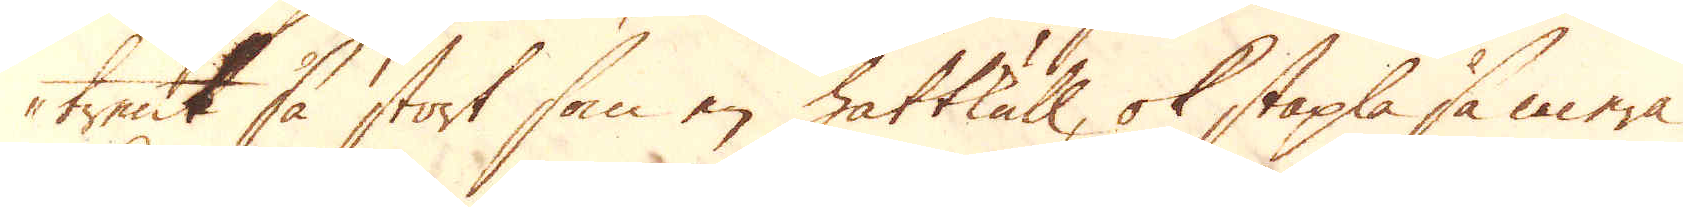trent så stort som en hattkull, ok stapla så mera
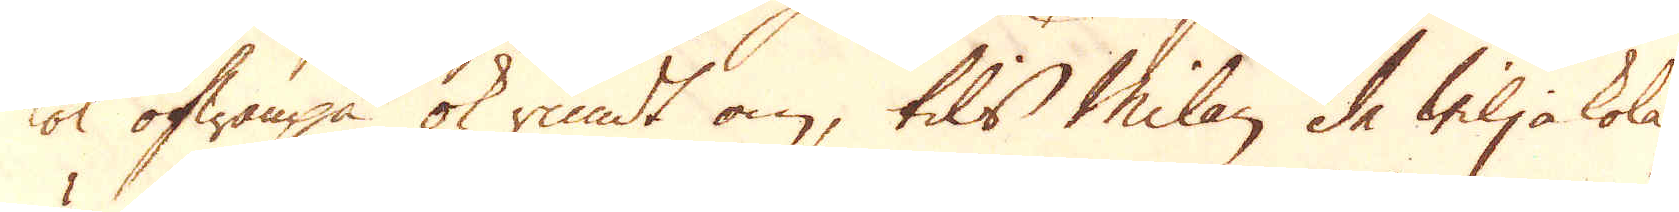kol ofwanpå ok rundt om, tils Milan de wilja kola,
